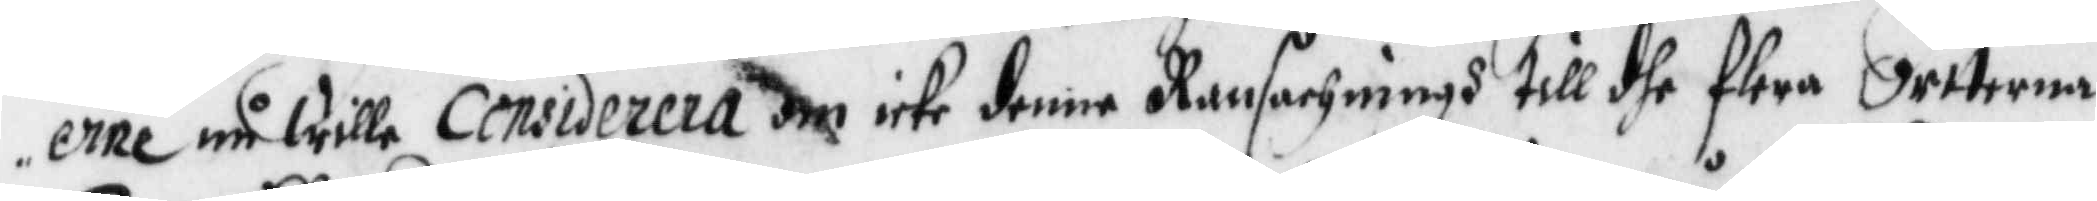erne må wille considera om icke denne Ransachningh till dhe flere Orterna
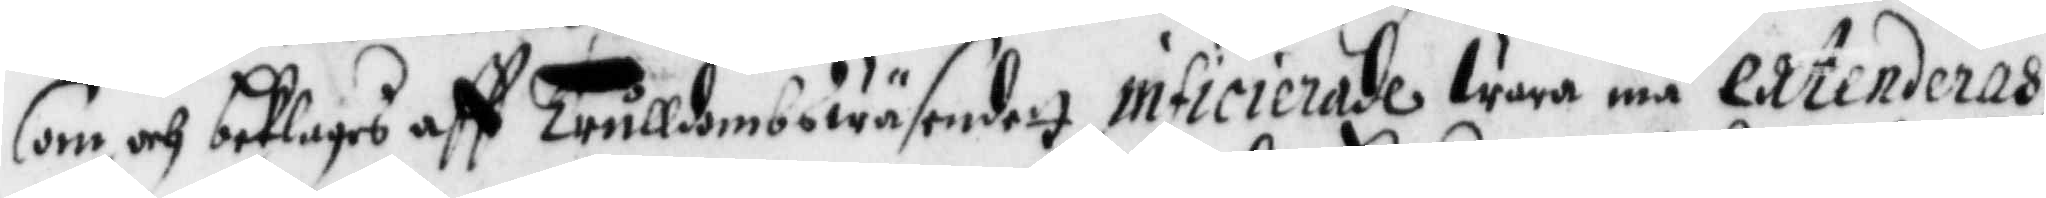som och beklages aff Trulldombswäsendett inficierade wara må extenderas,
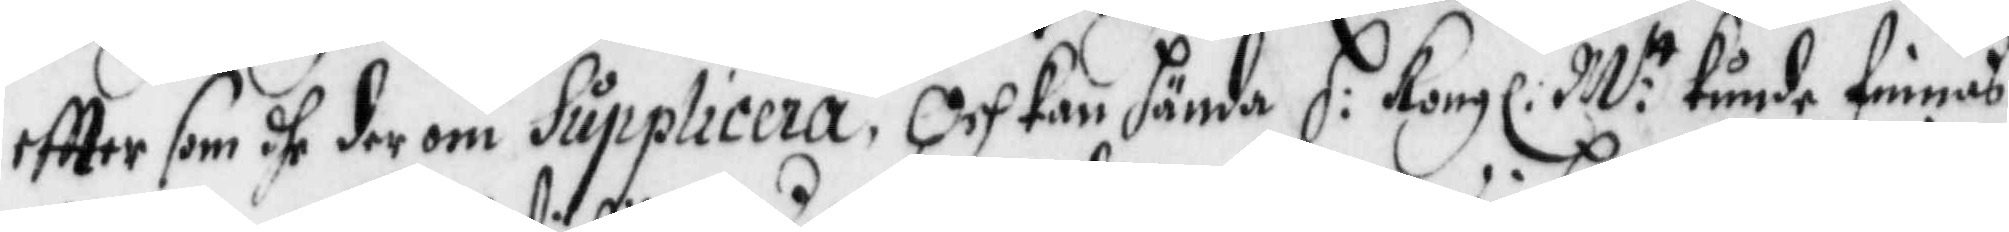eftter som dhe derom Supplicera, Och kan hända H: Kongl: M:tt kunde finnas
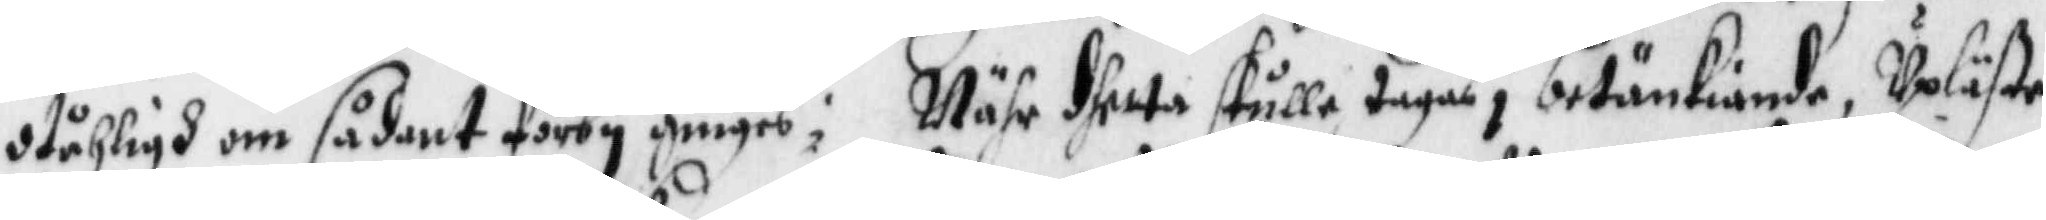otåhligh om sådant förby ginges; Nähr dhetta skulle tagas i betänkiande, Upläste
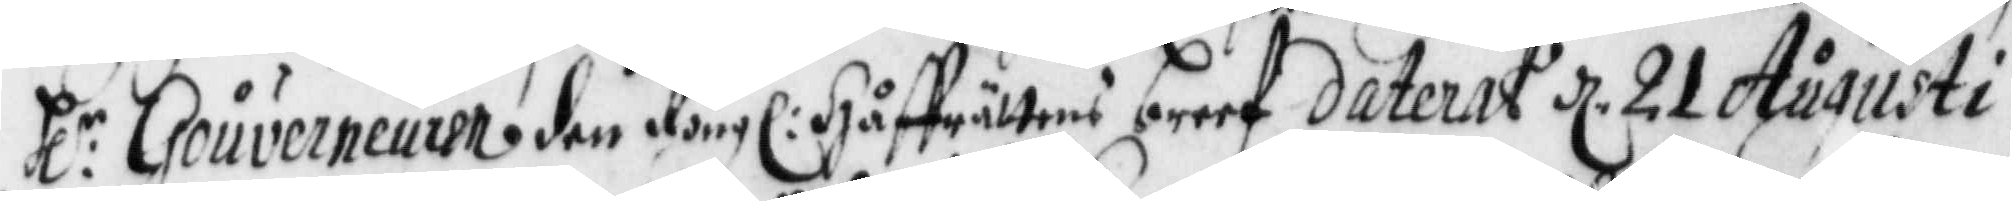Hl:r Gouverneuren den Kongl: Håffrättens breef dateray d. 21 Augusti
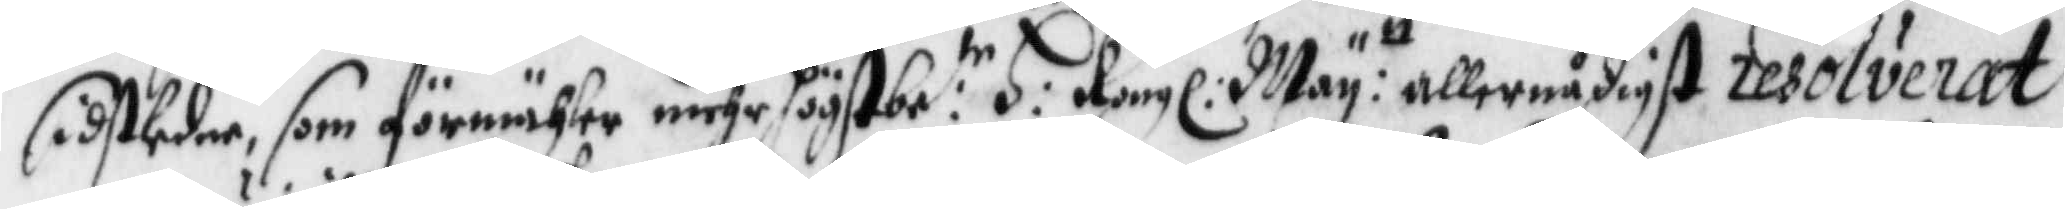sistledne, som förmähler mehr högstbe:te H: Kongl: May:tt allernådigst resolverat
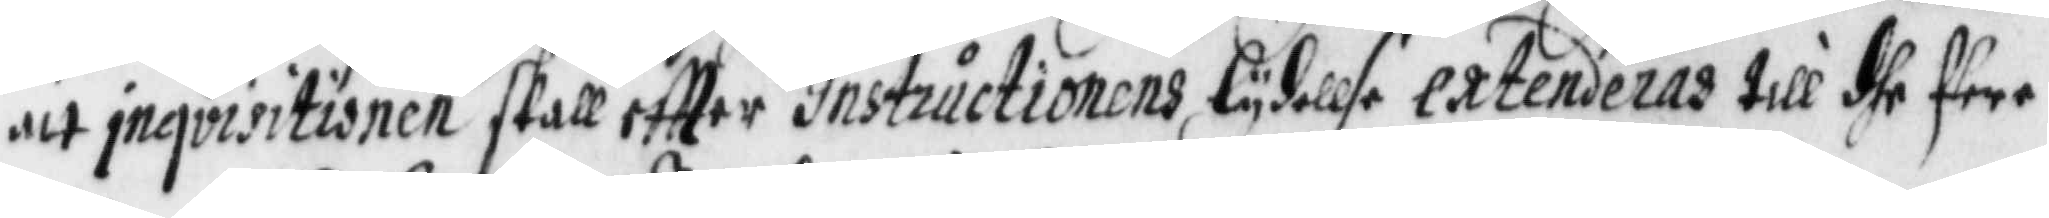att inqvisitionen skall eftter Instructionens lydellse extenderas till dhe flere
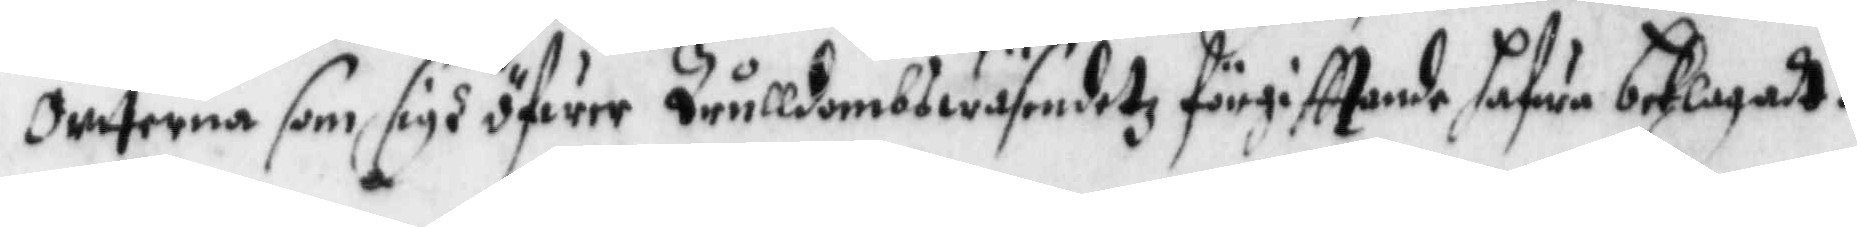orterna som sigh öfwer Trulldombswäsendetz förgiffande hafwa beklagadt.
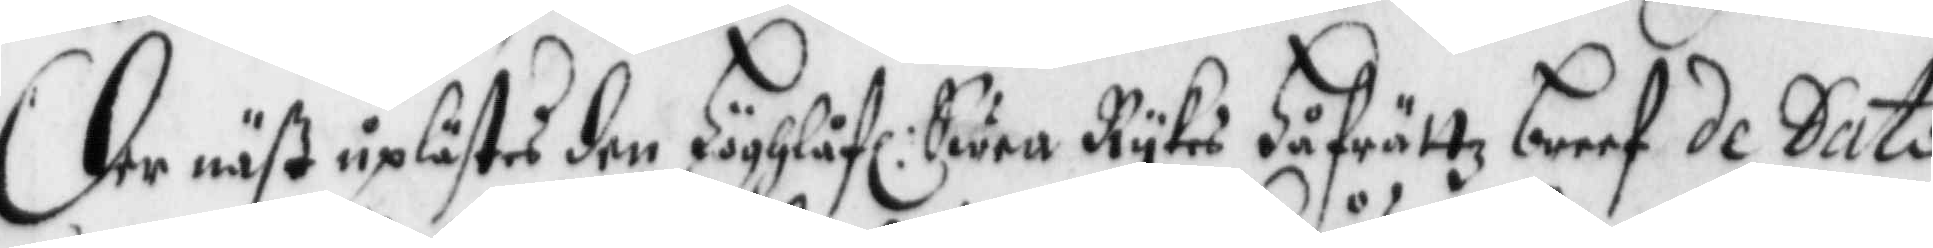Der näst uplästes den Höghlåfl: Swea Rykes Håfrättz breef de Dato
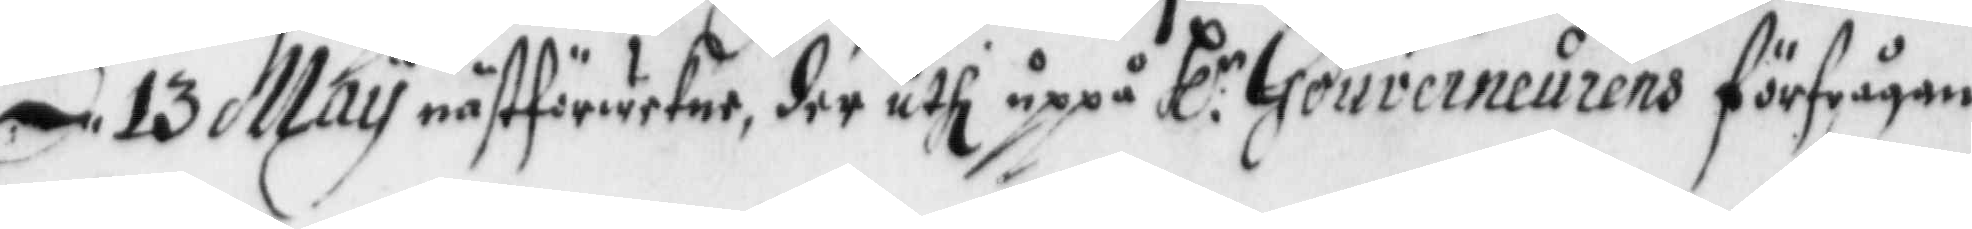d: 13 May nästförwekne, der uthi uppå Hl:r Gouverneurens förfrågan
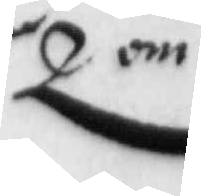om
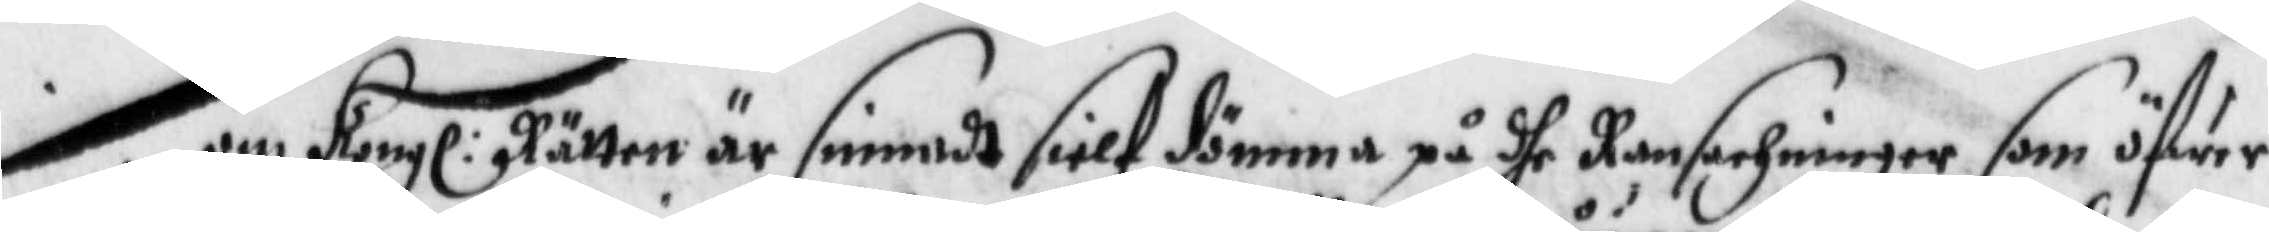om Kongl: Rätten är sinnadt sielf dömma på dhe Ransachninger som öfwer
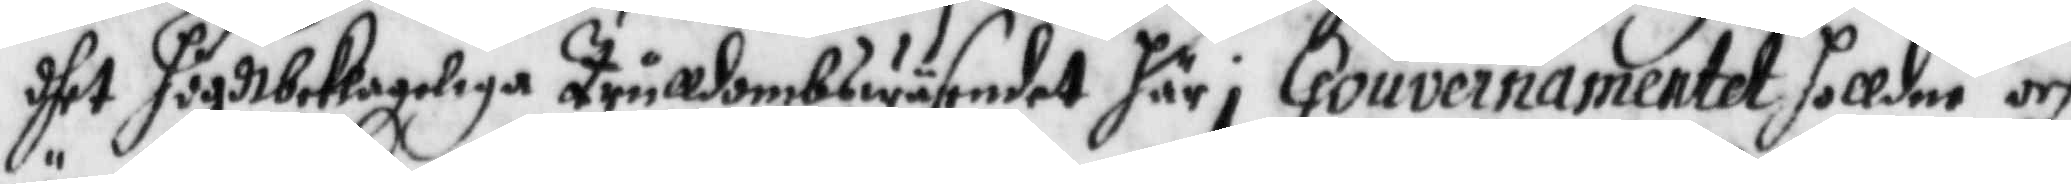dhet högdtbeklageliga Trulldombswäsendet här i Gouvernanmentet holldne och
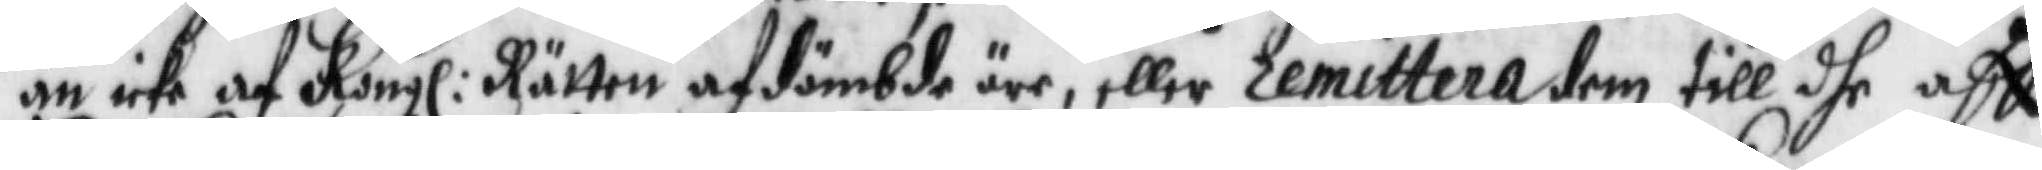än icke af Kongl: Rätten afdömbde äre, eller remittera dem till dhe aff
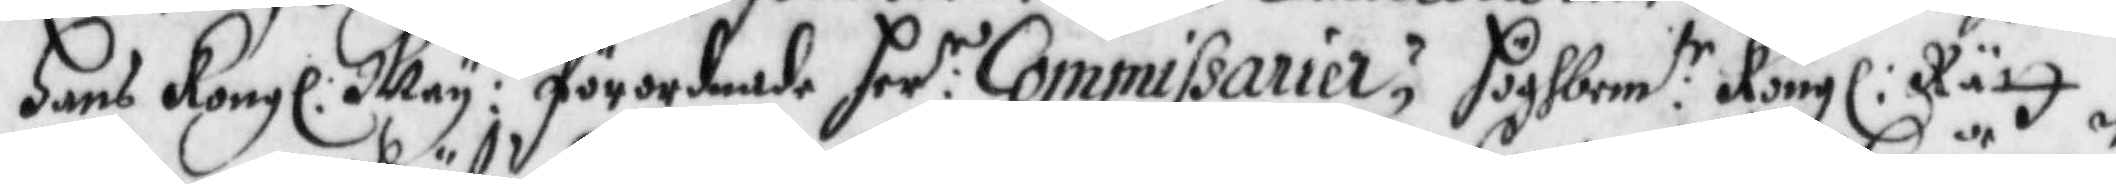Hans Kongl: May:tt förordnande Her:r Commissarier; Höghbem:te Kongl: rätt
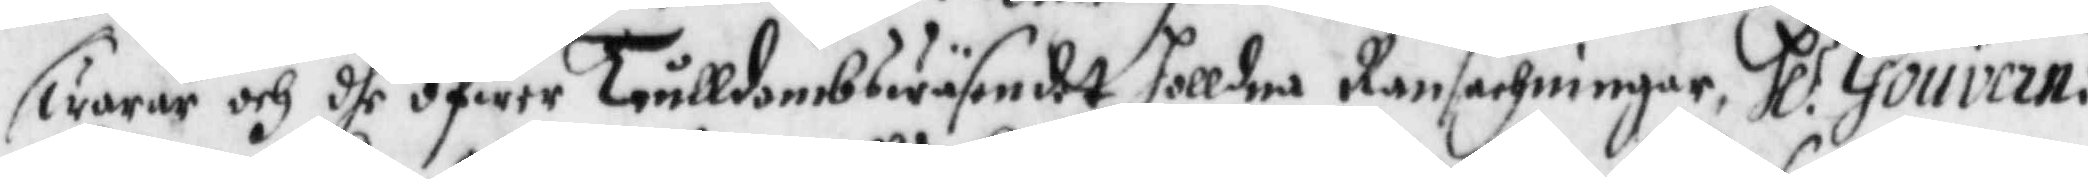swarar och dhe öfwer trulldombswäsendet holldne Ransakningan Hl:r Gouvern:n
